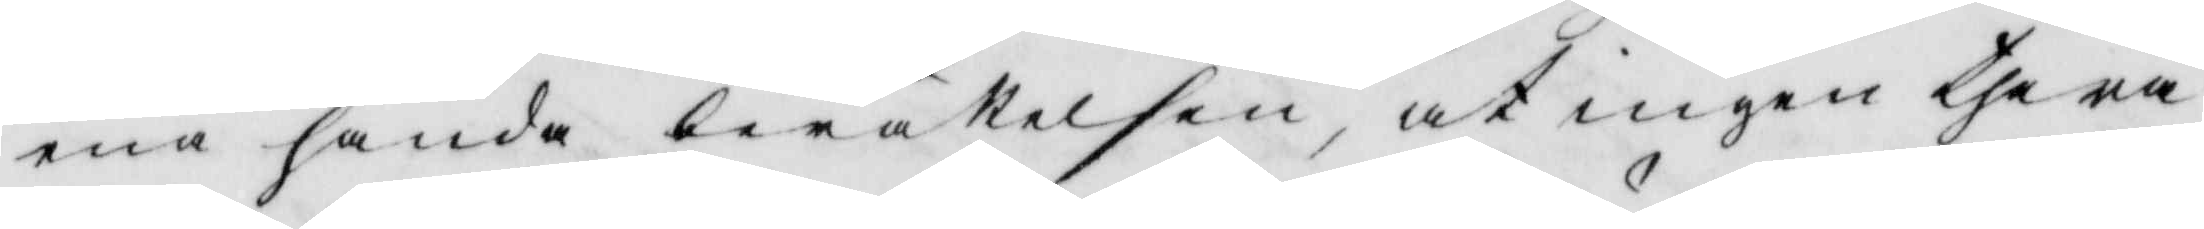ena handa berättelsen, at ingen thera
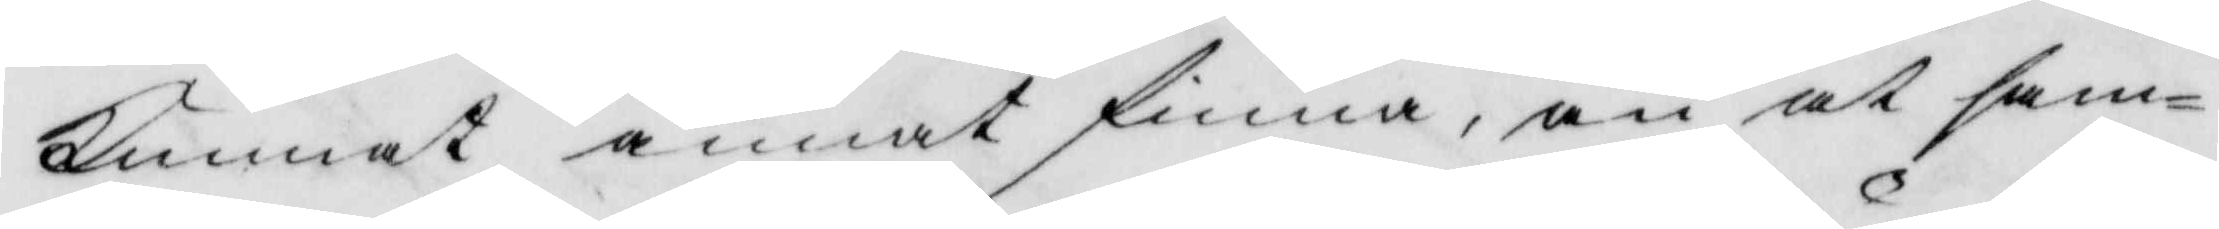kunnat annat finna, än at sam¬
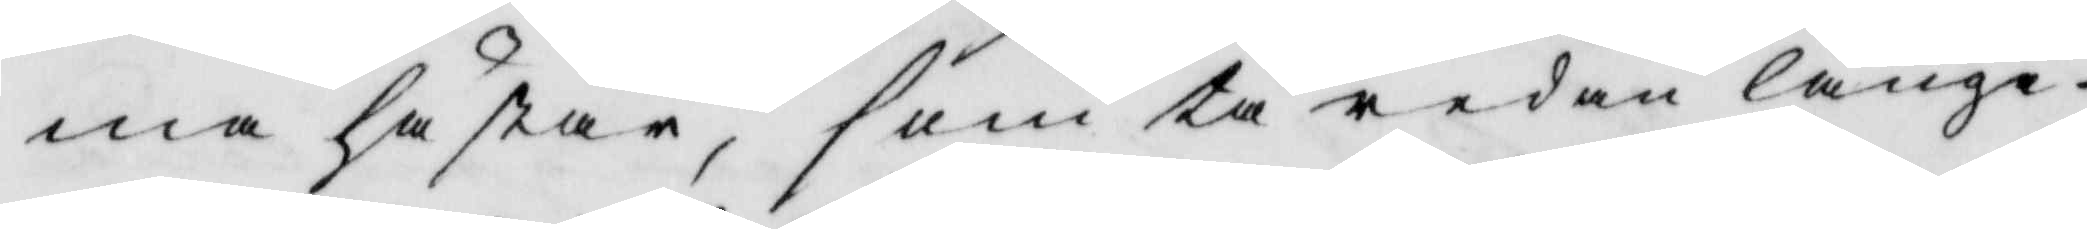ma hästar, som tå redan länge
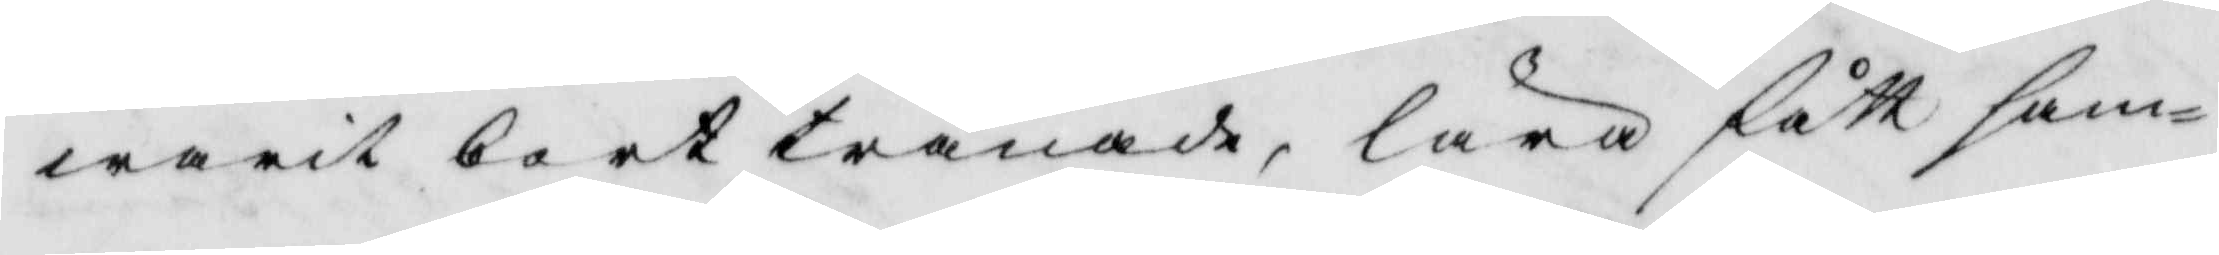warit borttränade, lära fått sam¬
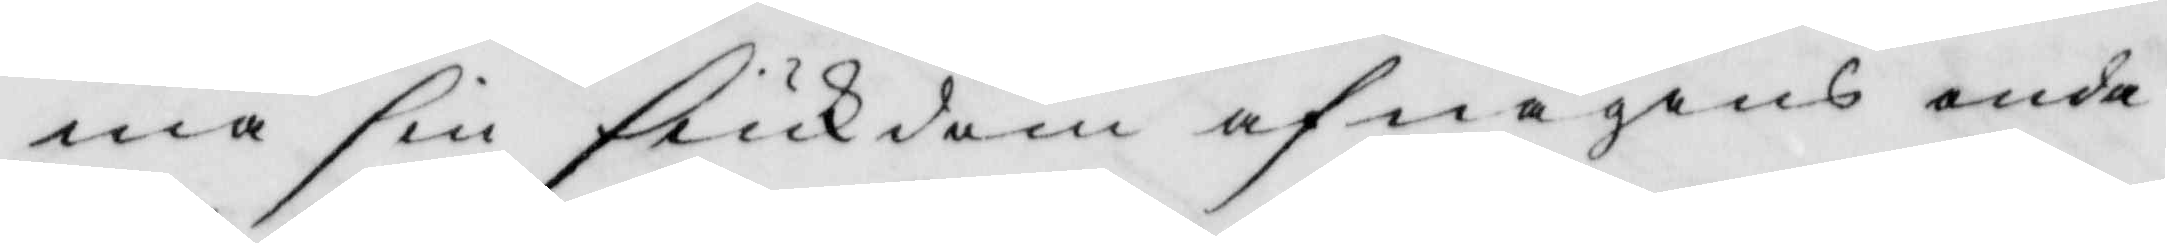ma sin siukdom af någons onda
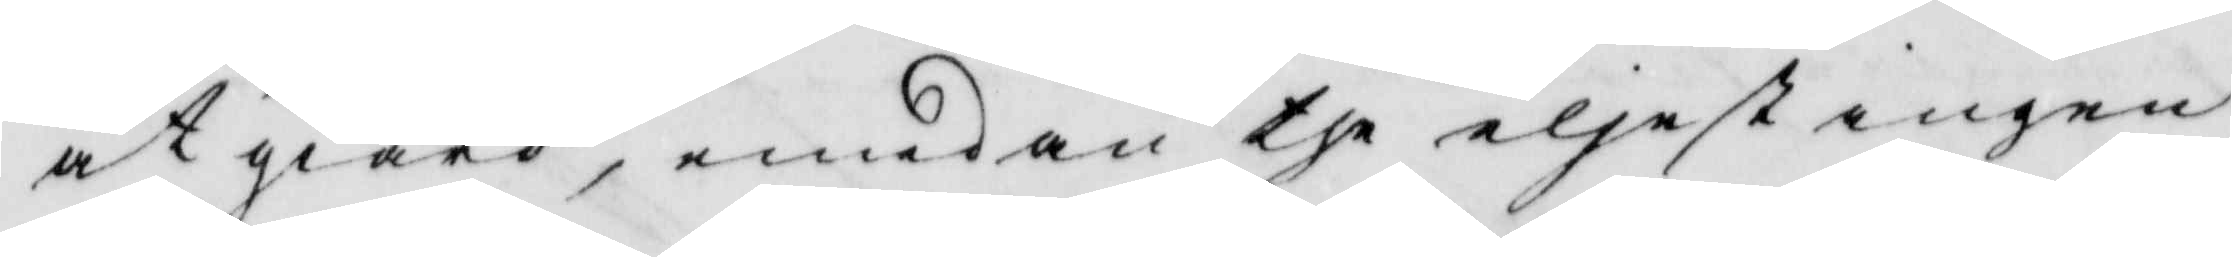åtgiärd, emedan the eljest ingen
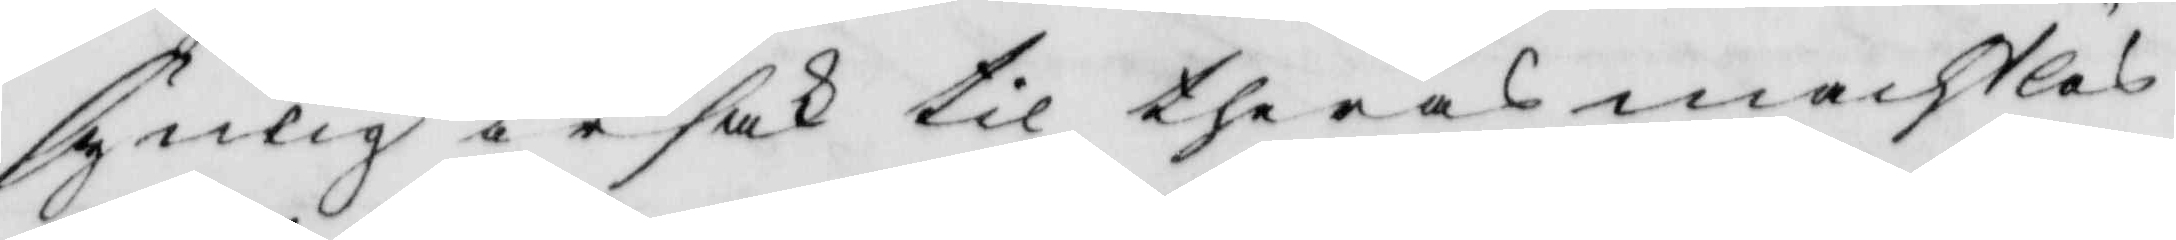synlig orsak til theras machtlös¬
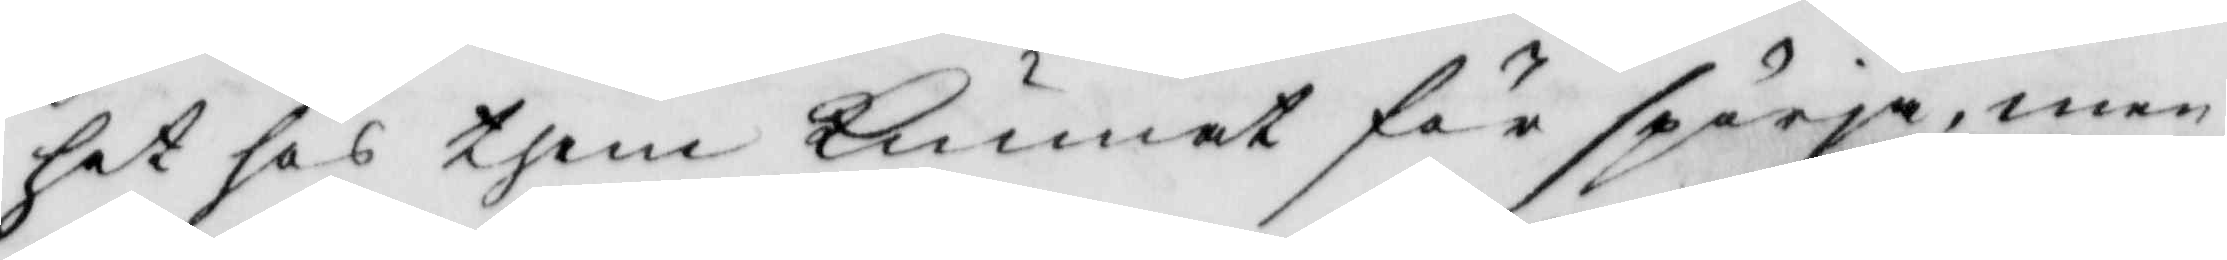het hos them kunnat för spörja,men
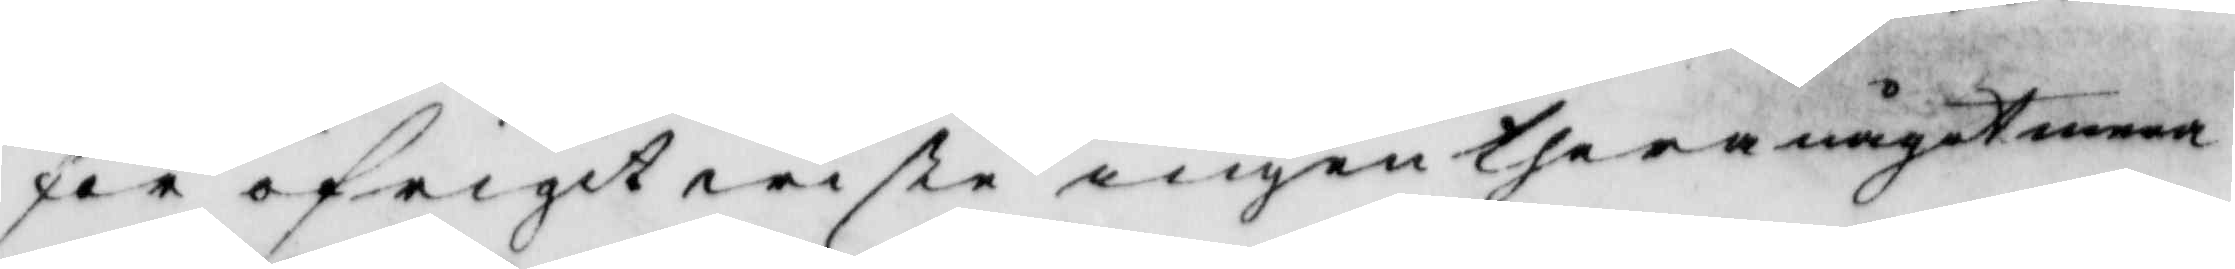för öfrigt wiste ingen thera något mera
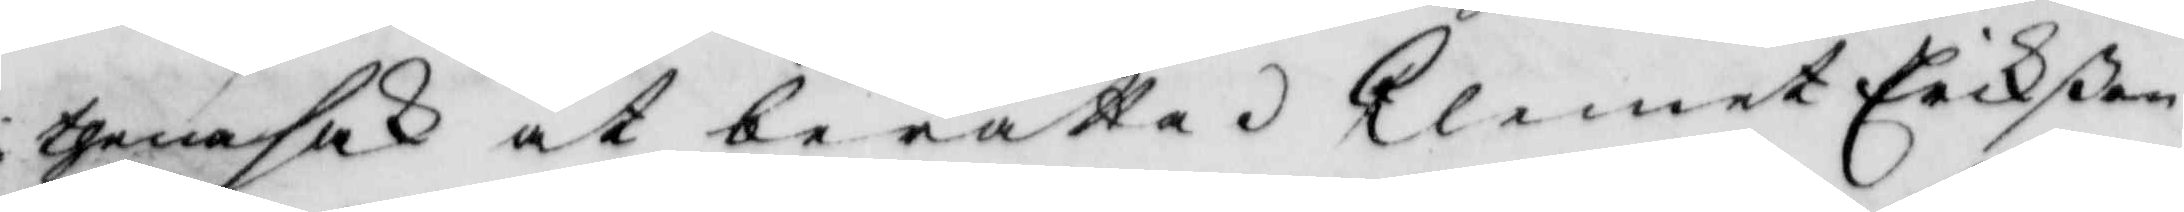i thena sak at berätta. Clemet erikßon
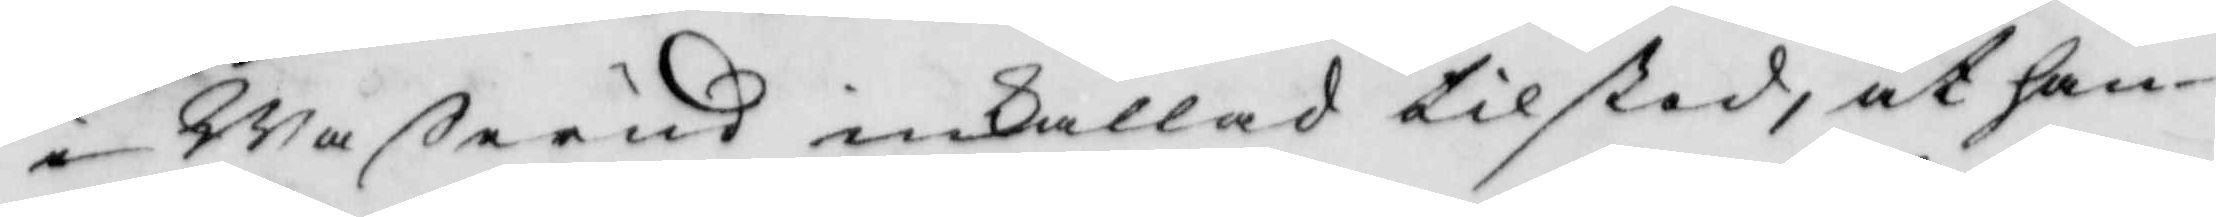i Waßerud inkallad tilstod, at han
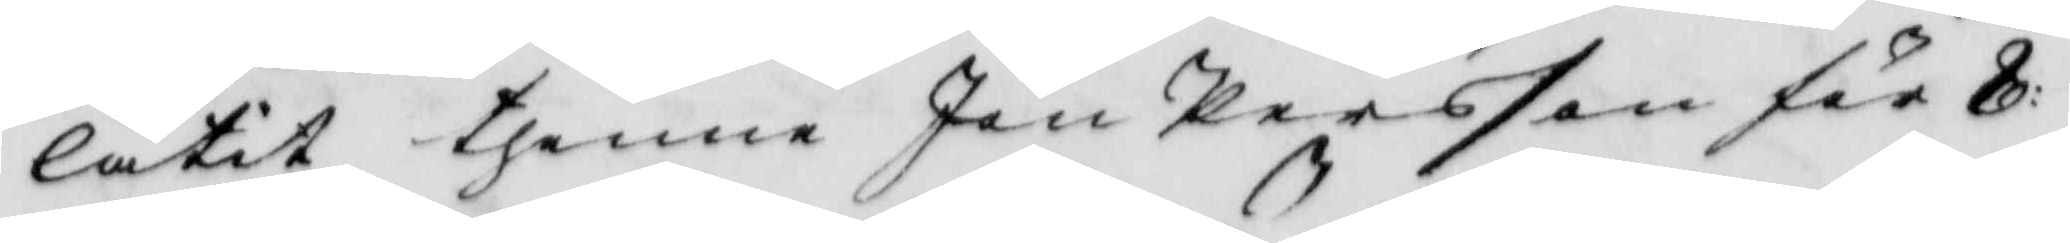låtit thnne Jon Persson för 8:
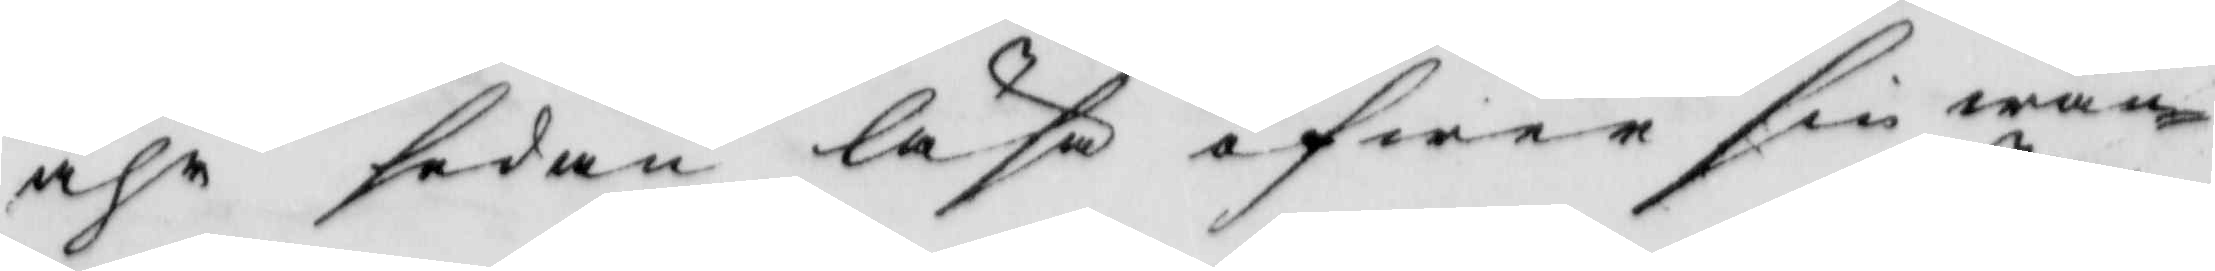åhr sedan läsa öfwer sin wän¬
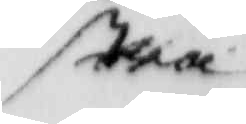stra
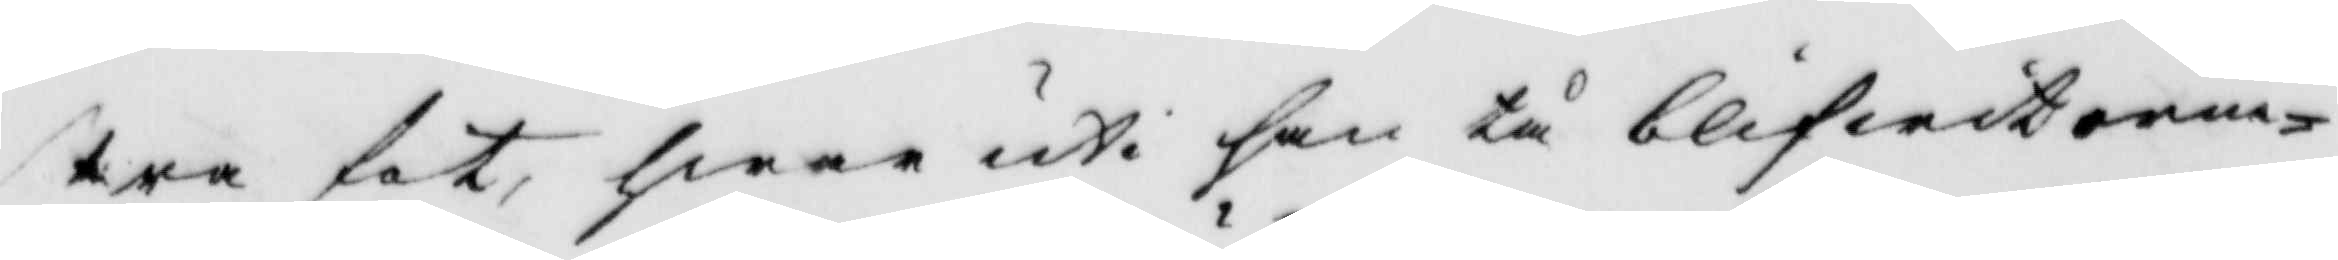stra fot, hwar uti han tå blifwit orm¬
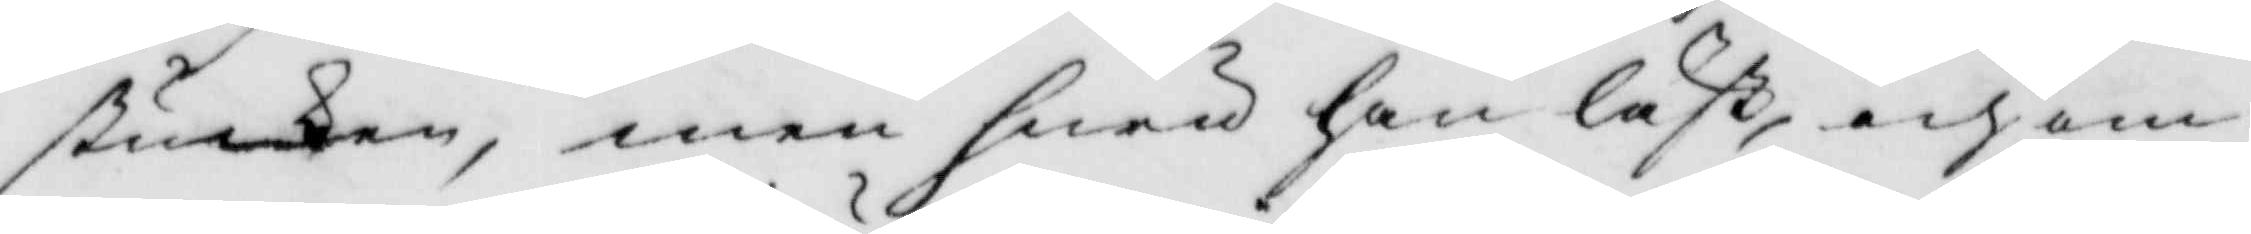stucken, men hwad han läst, och om
